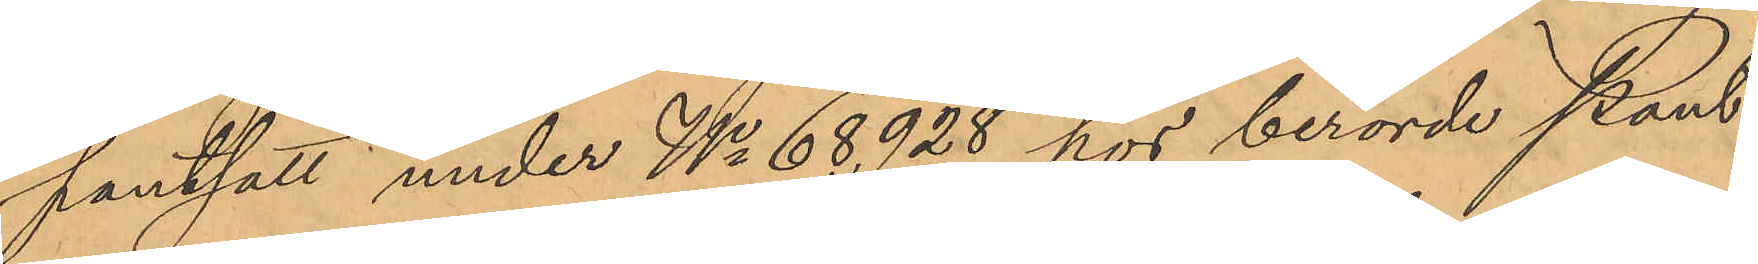pantsatt under No 68928 hos berörde Pant¬
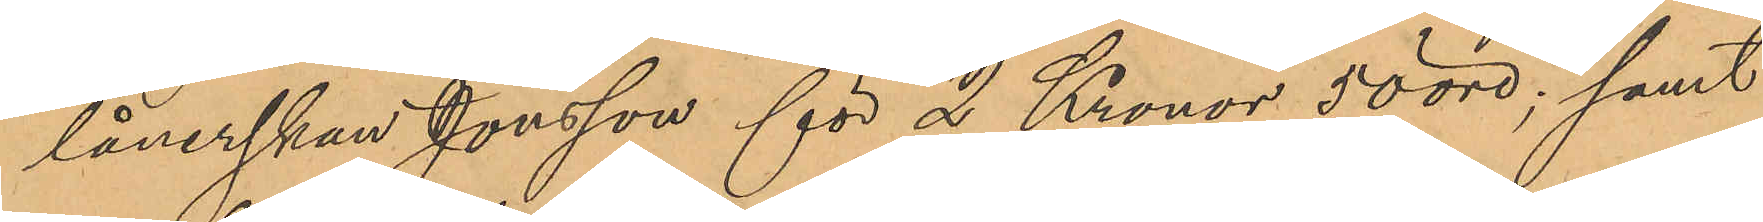lånerskan Jonsson för 2 Kronor 50 öre; samt
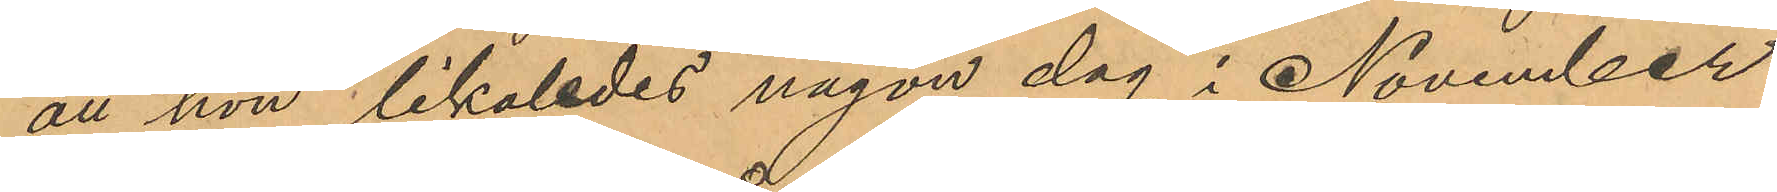att hon likaledes någon dag i November
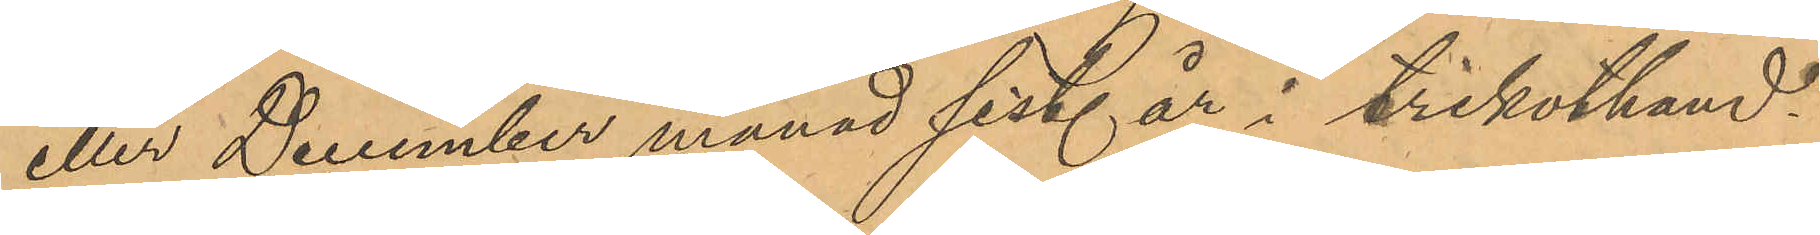eller December månad sist. år i trikothand¬
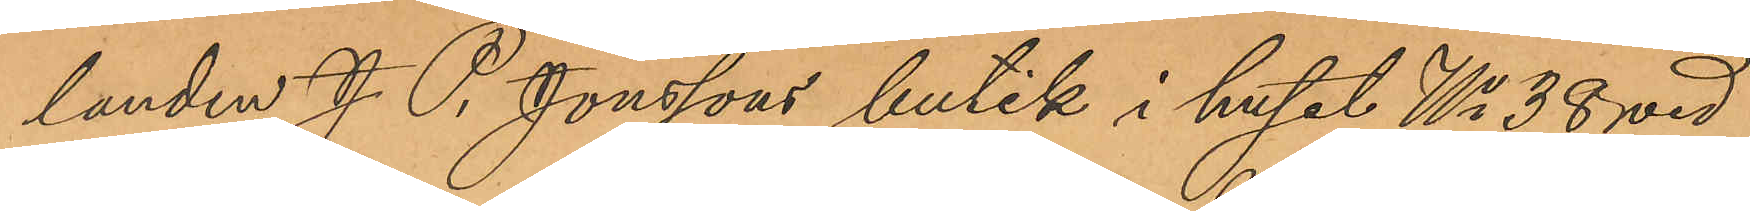landen J. P. Jönssons butik i huset No 38 vid
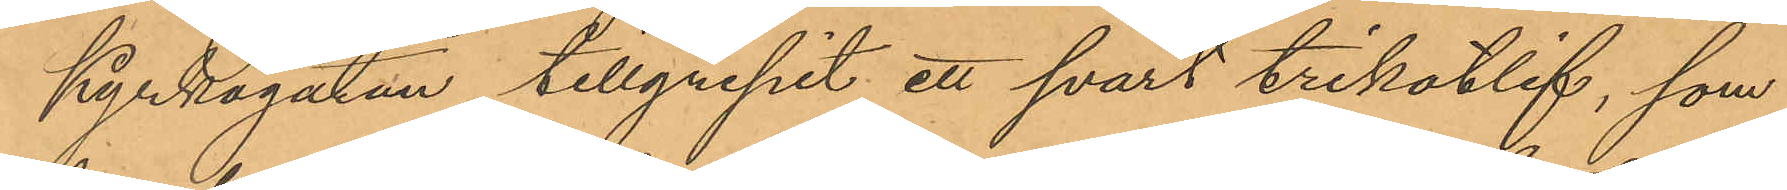Kyrkogatan tillgripit ett svart trikotlif, som
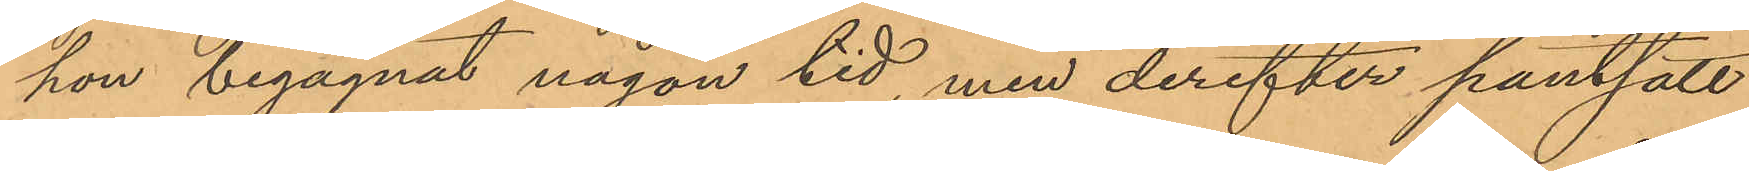hon begagnat någon tid, men derefter pantsatt
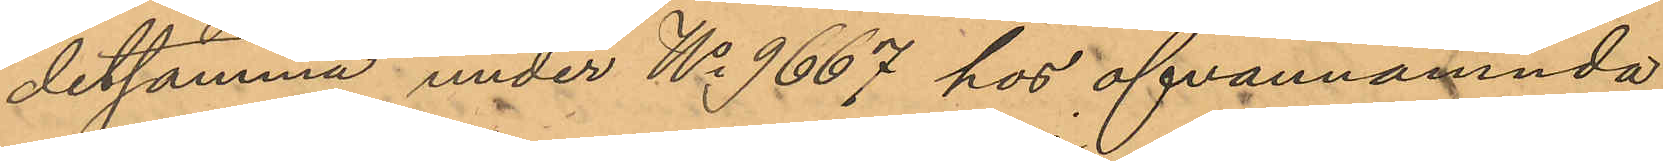detsamma under No 9667 hos ofvannämnda
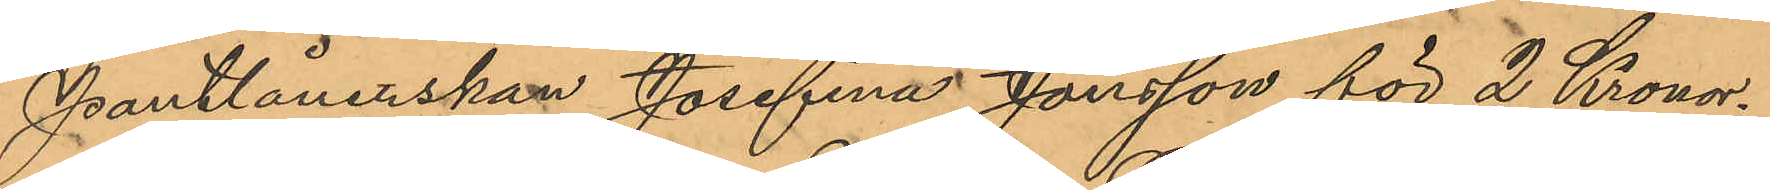Pantlånerskan Josefina Jonsson för 2 Kronor.
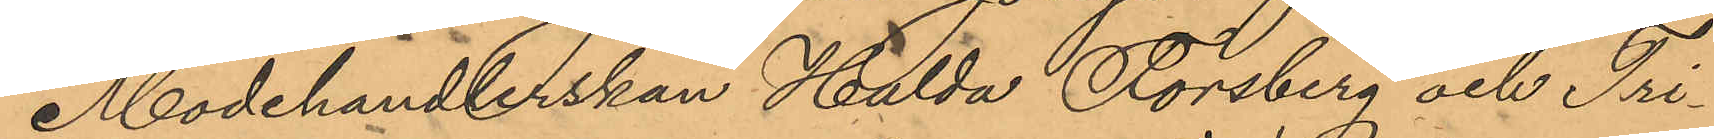Modehandlerskan Hilda Forsberg och Tri¬
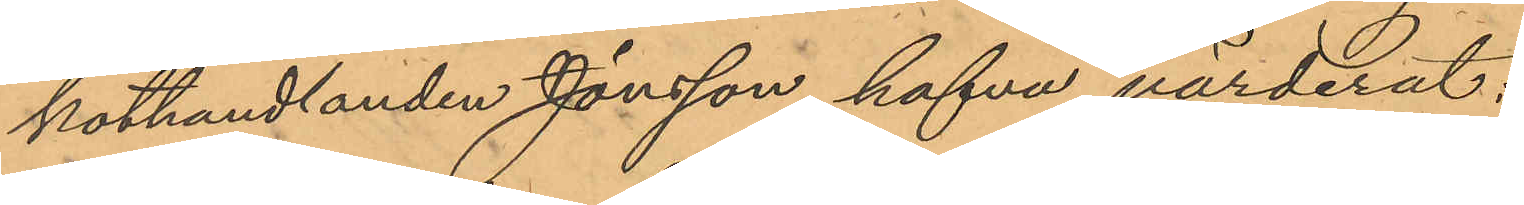kothandlanden Jönsson hafva värderat:
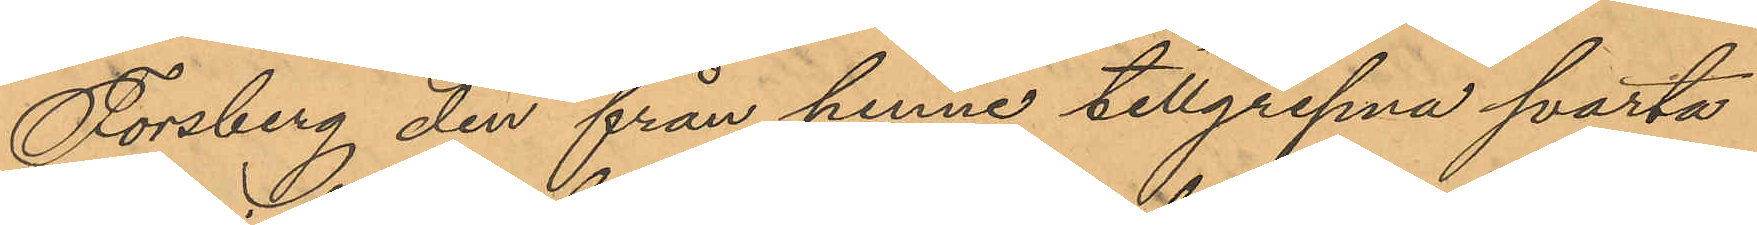Forsberg den från henne tillgripna svarta
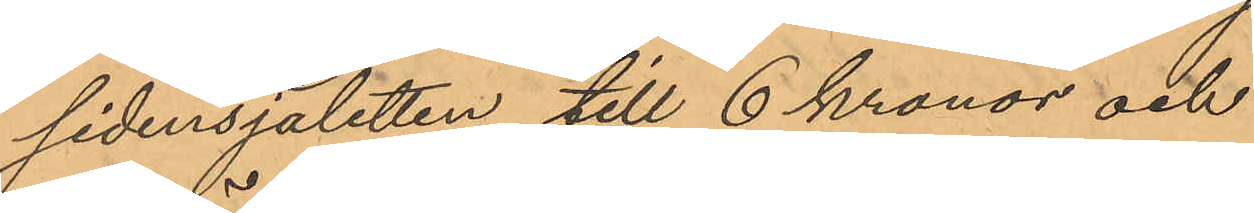sidensjaletten till 6 kronor och
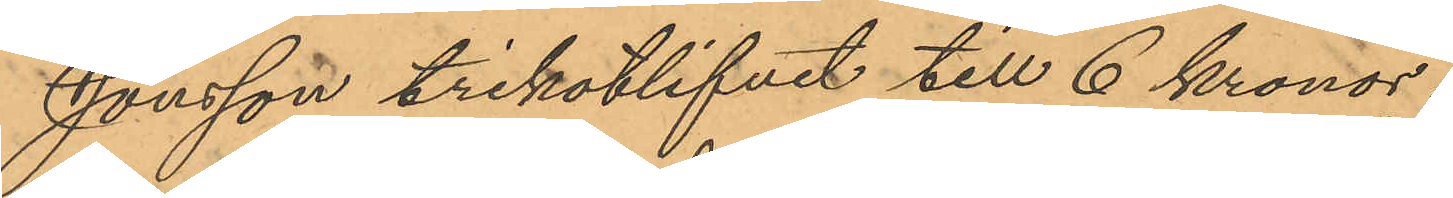Jönsson trikotlifet till 6 kronor.
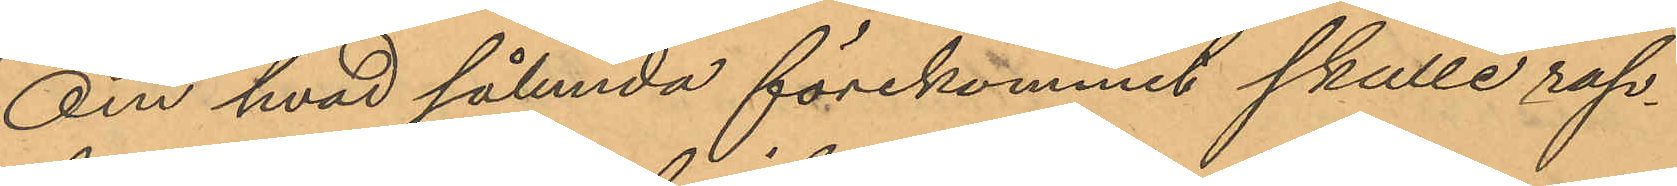Om hvad sålunda förekommit skulle rap¬
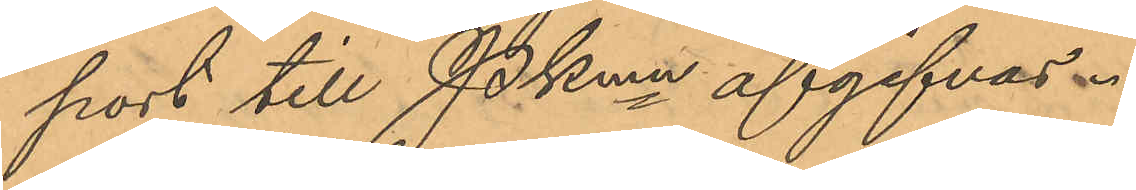port till Pkmn afgifvas.
